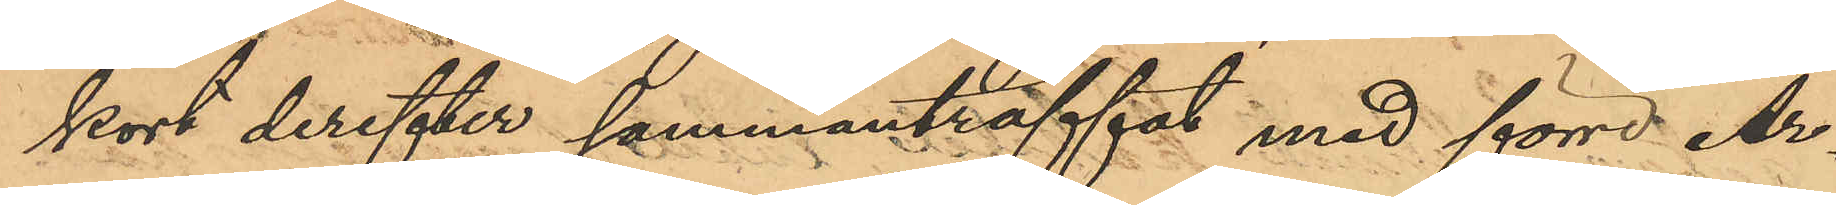kort derefter sammanträffat med förre Ar¬
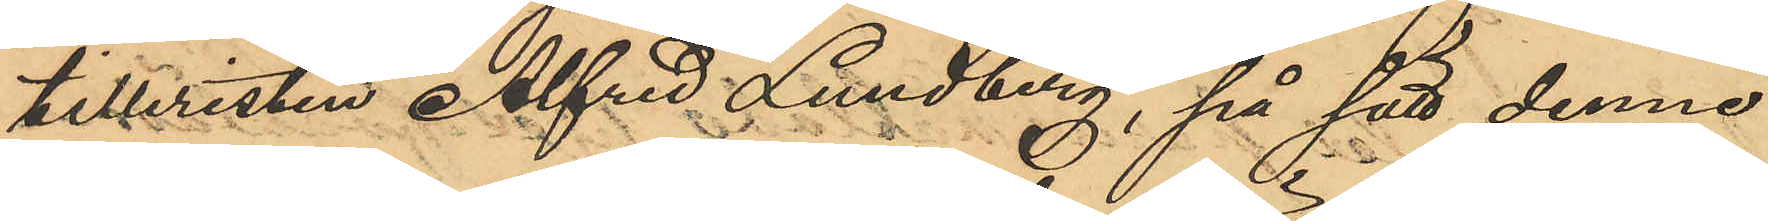tilleristen Alfred Lundberg, på sätt denne
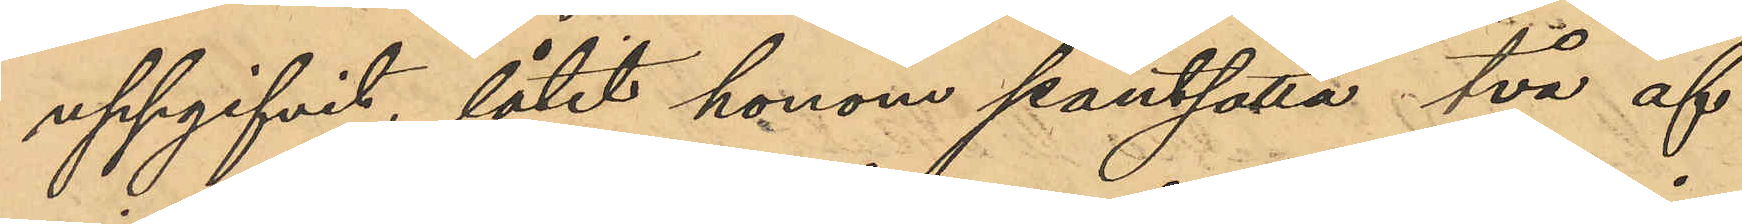uppgifvit, låtit honom pansätta två af
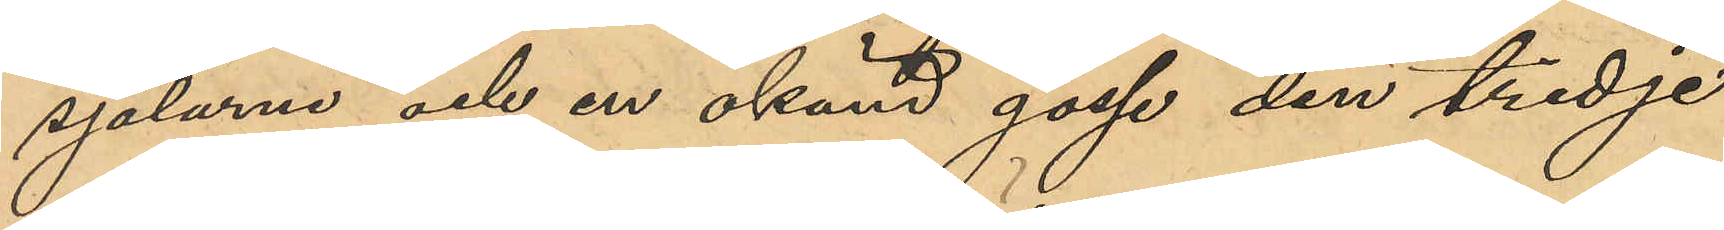sjalarna och en okänd gosse den tredje
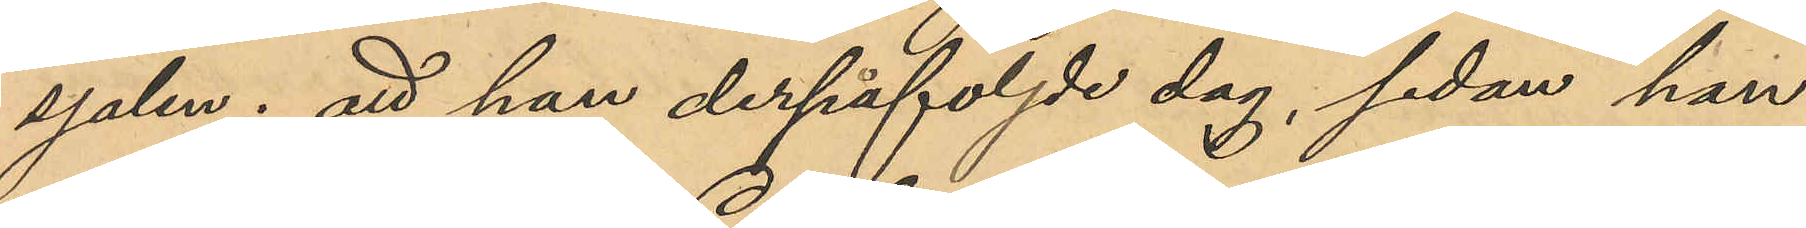sjalar; att han derpåföljde dag, sedan han
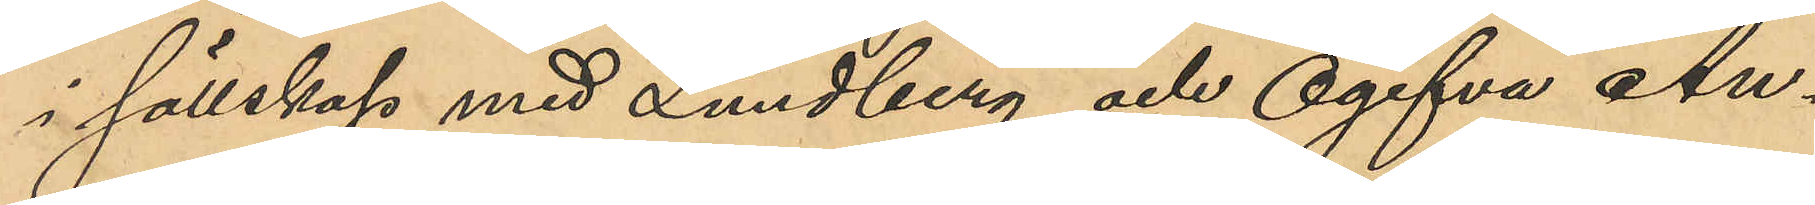i sällskap med Lundberg och Ogifta An¬
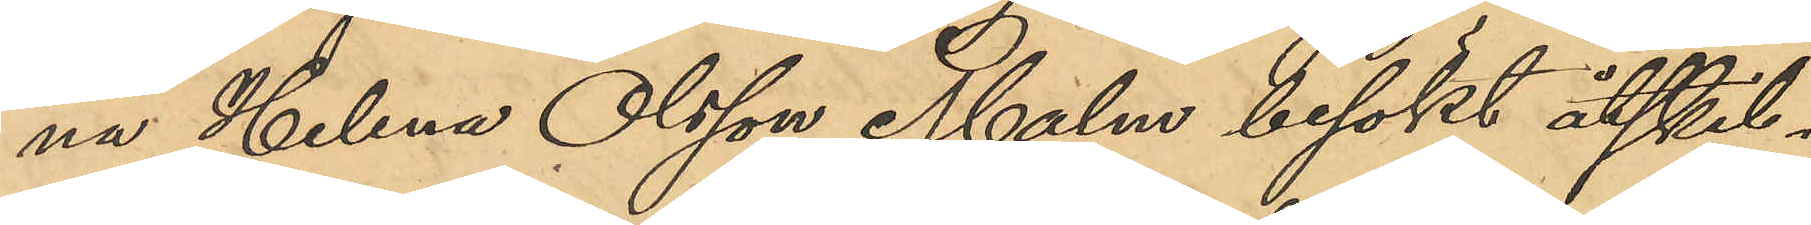na Helena Olsson Malm besökt åtskil¬
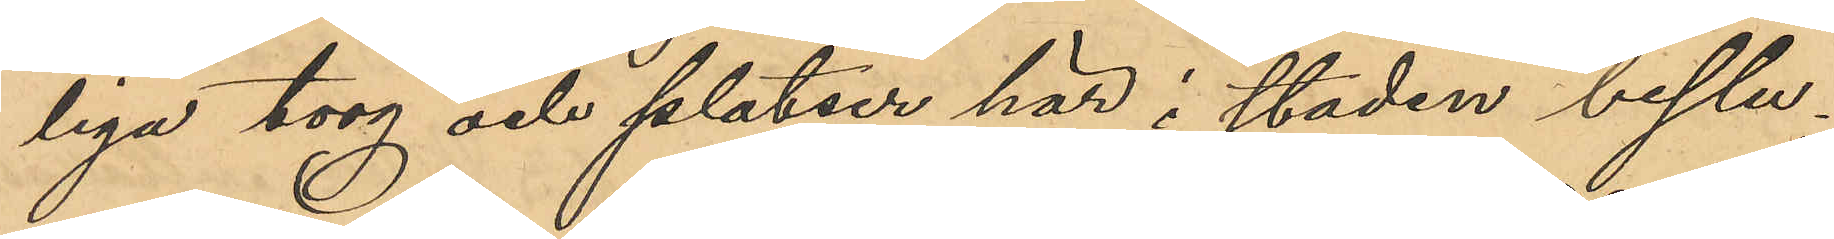liga torg och platser här i staden beslu¬
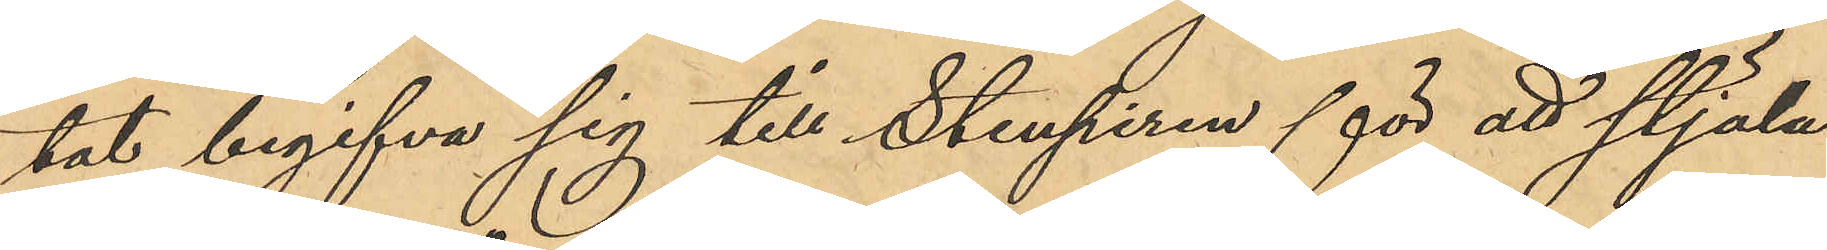tat begifva sig till Stenpiren för att stjäla
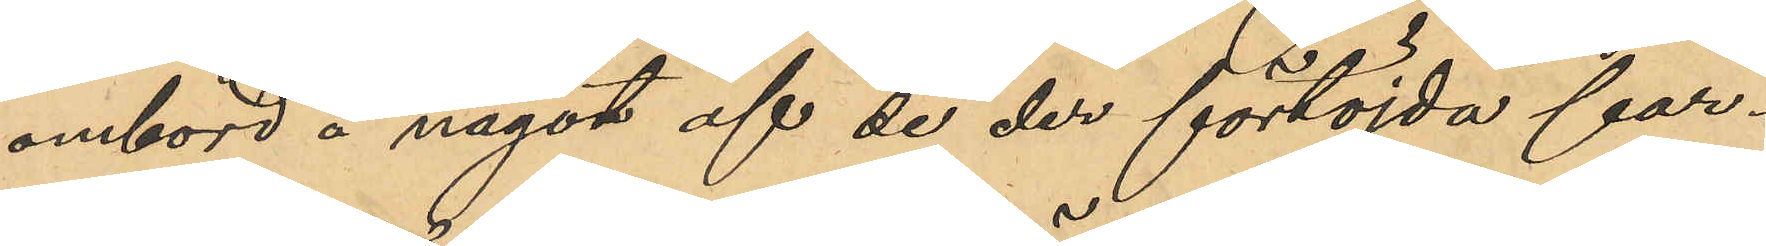ombord å något af de der förtöjda far¬
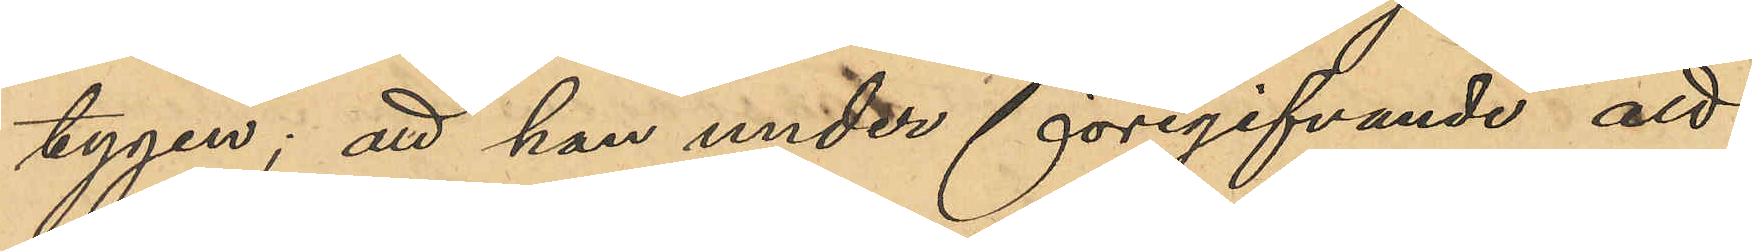tygen; att han under föregifvande att 
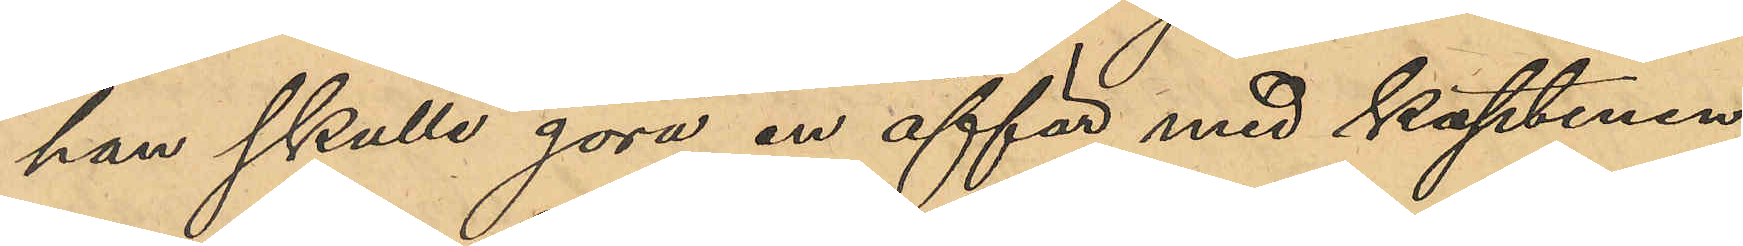han skulle göra en affär med kaptenen
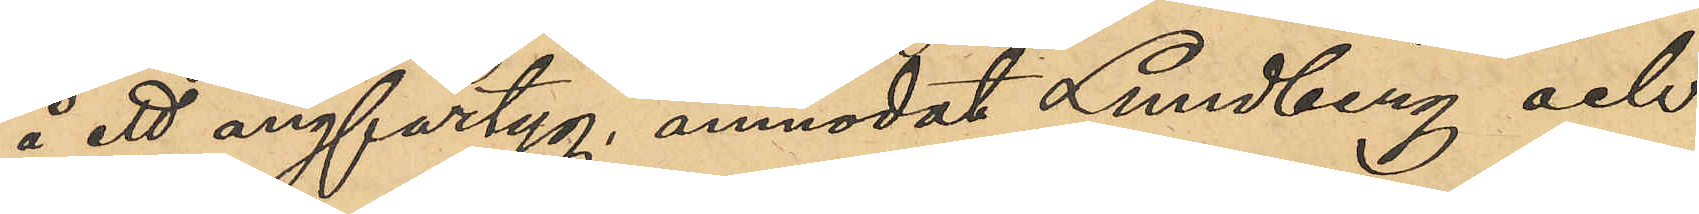å ett ångfartyg, anmodat Lundberg och
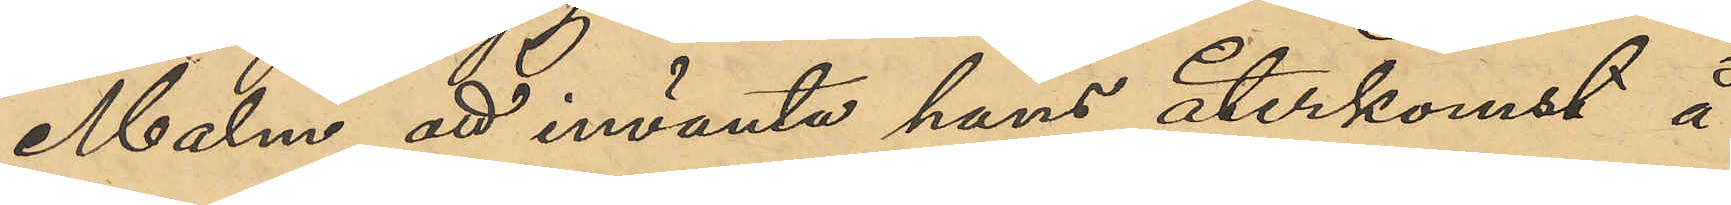Malm att invänta hans återkomst å
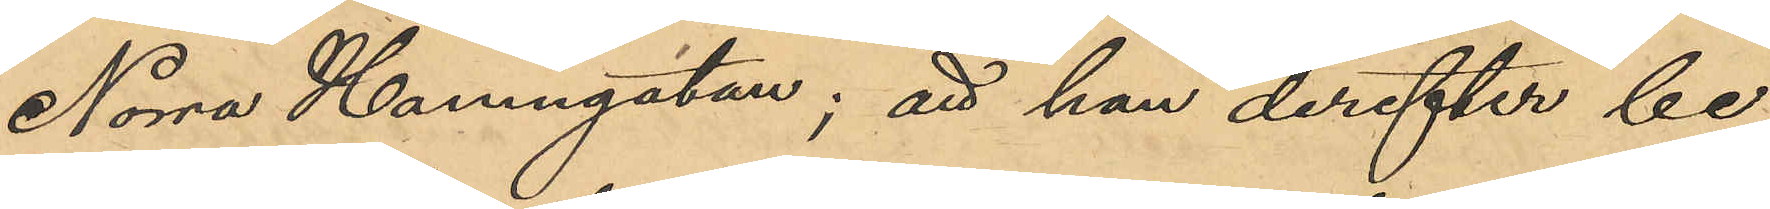Norra Hamngatan; att han derefter be¬
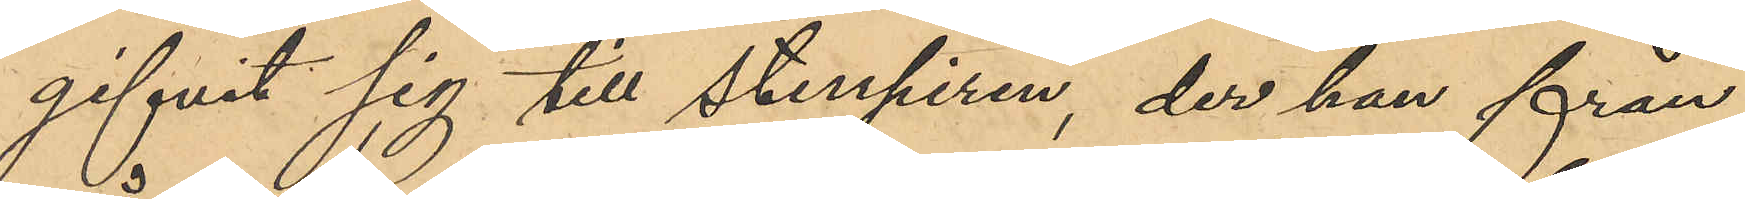gifvit sig till Stenpiren, der han från
